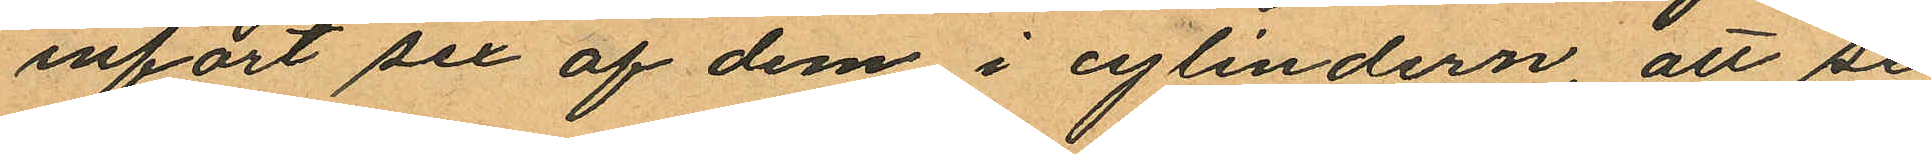infört sex af dem i cylindern, att se
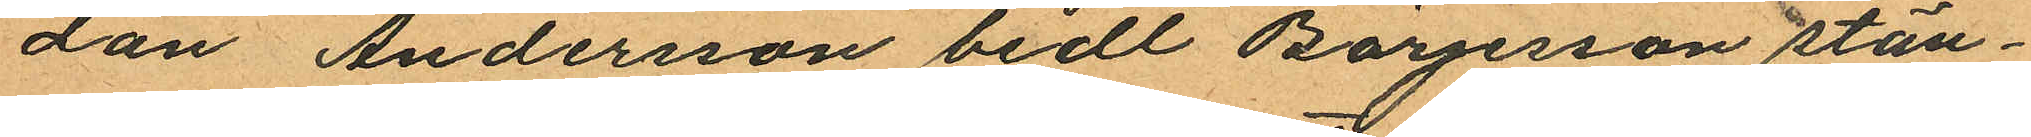dan Andersson bedt Börjerson stän¬
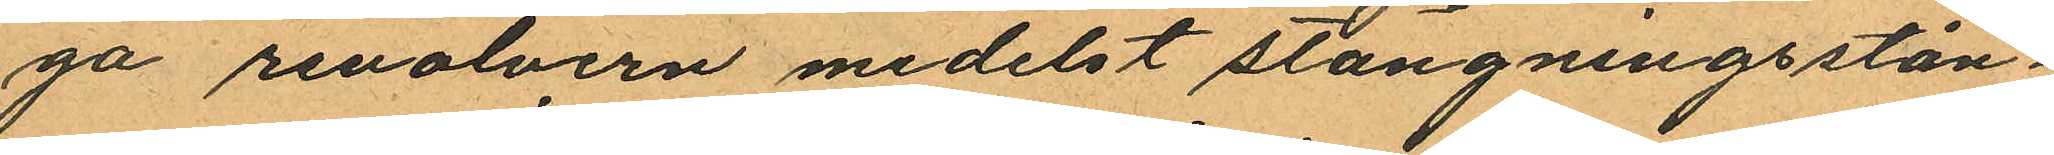ga revolvern medelst stängningsstån¬
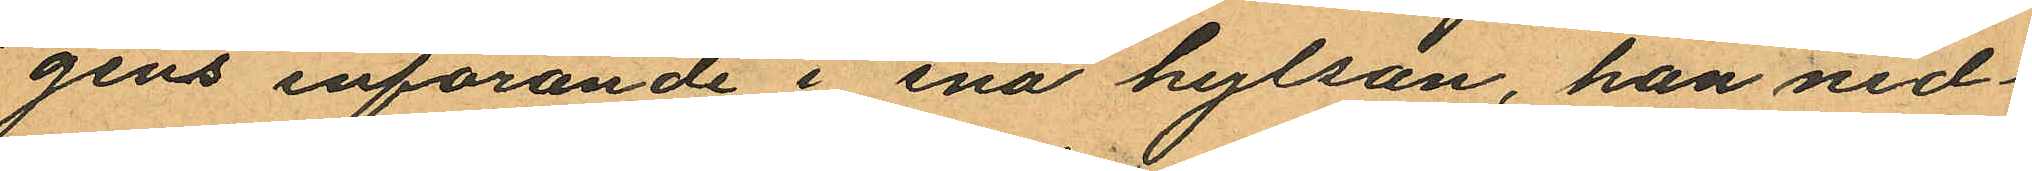gens införande i ena hylsan, han ned¬
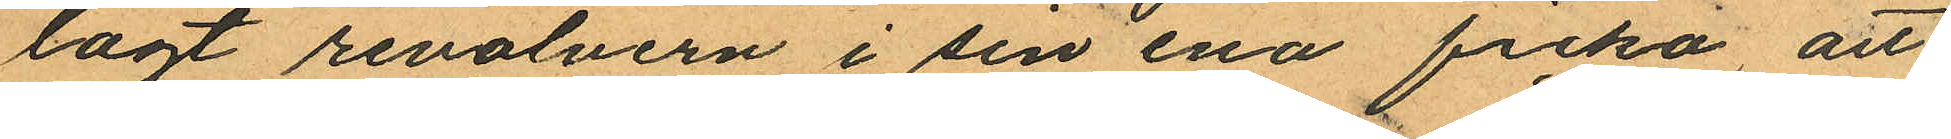lagt revolvern i sin ena ficka att
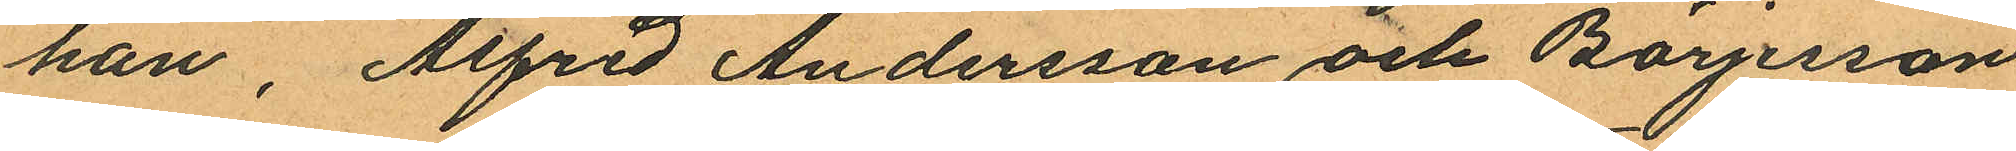han, Alfred Andersson och Börjesson
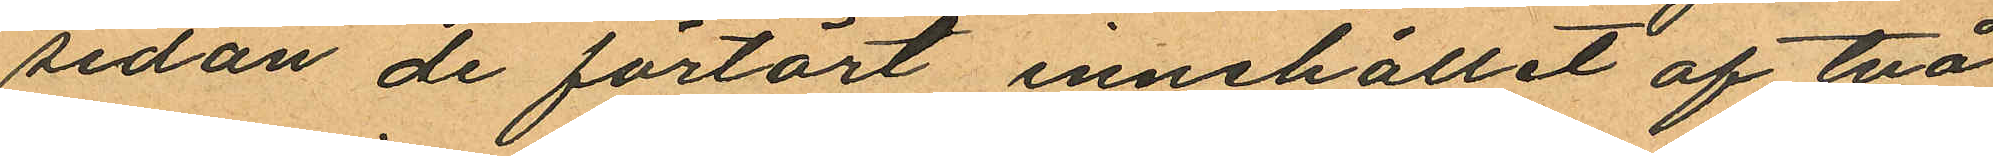sedan de förtärt innehållit af två
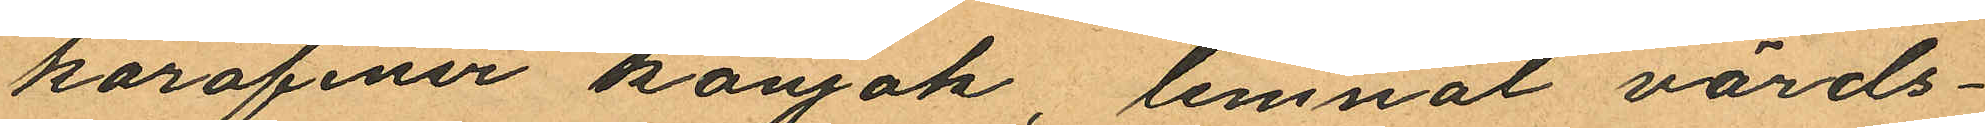karafiner konjak, lemnat värds¬
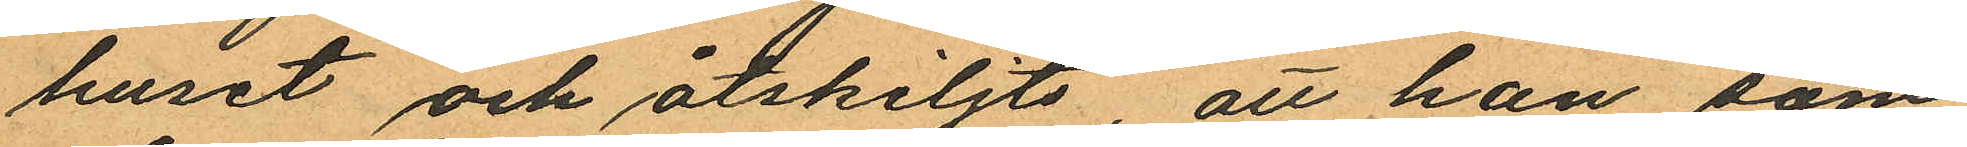huset och åtskiljts, att han, som
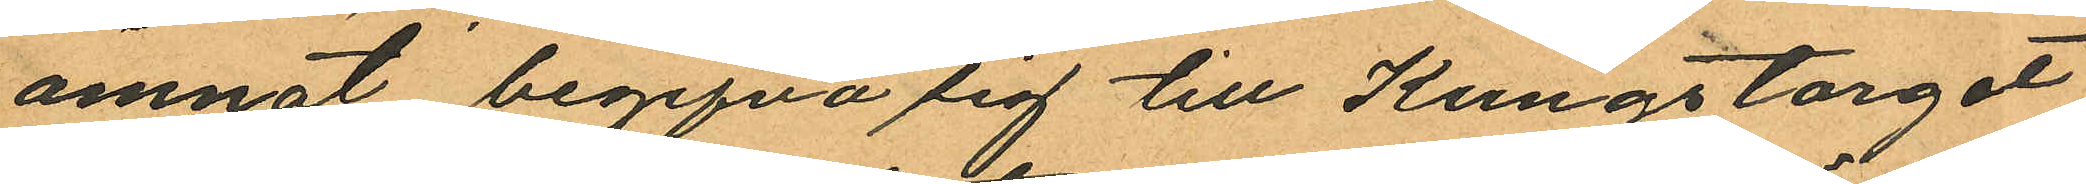ämnat begifva sig till Kungstorget
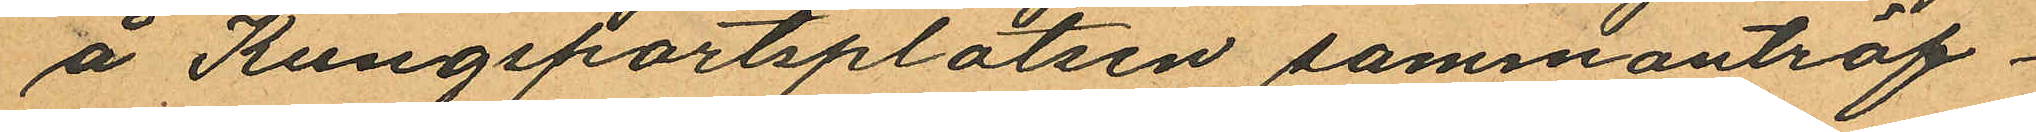å Kungsportsplatsen sammanträf¬
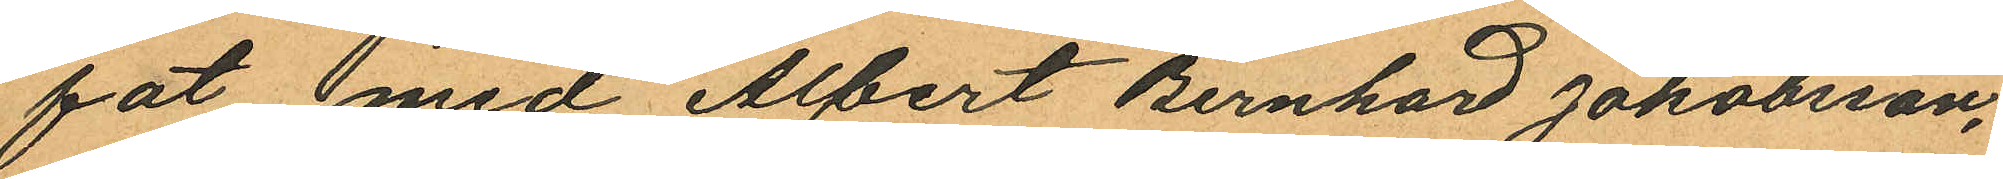fat med Albert Bernhard Jakobsson,
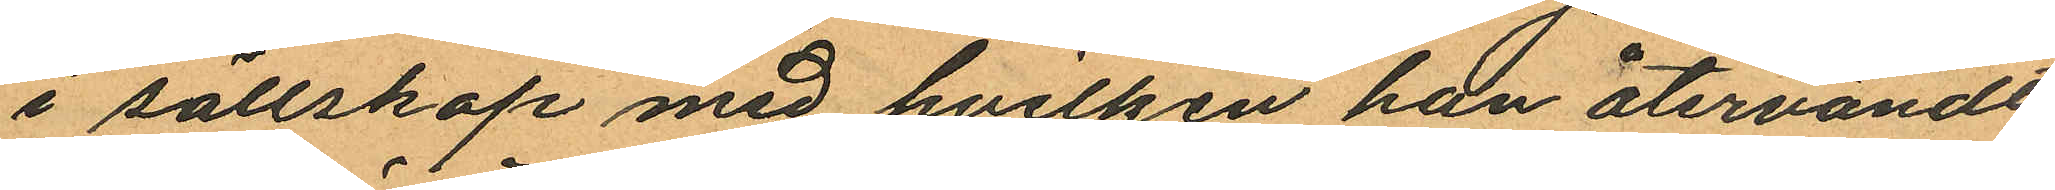i sällskap med hvilken han återvändt
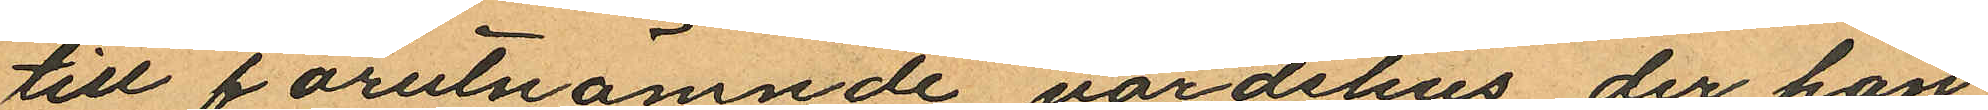till förutnämnde värdshus, der han
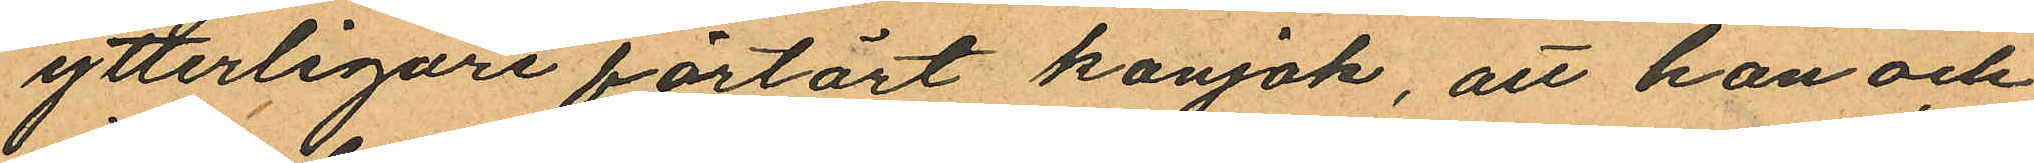ytterligare förtärt konjak, att han och
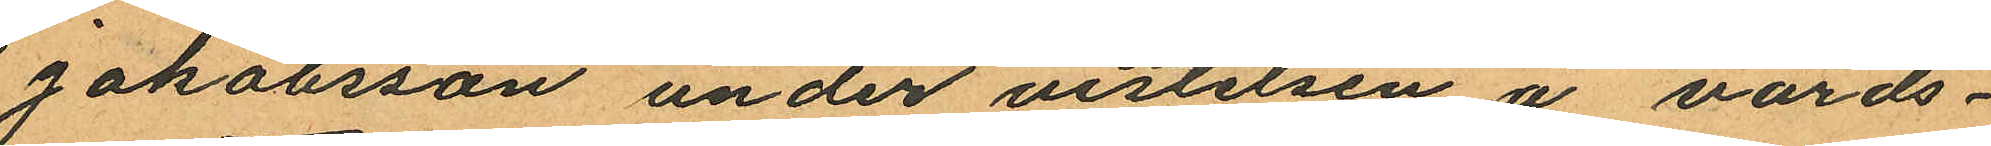Jakobsson under vistelsen å värds¬
